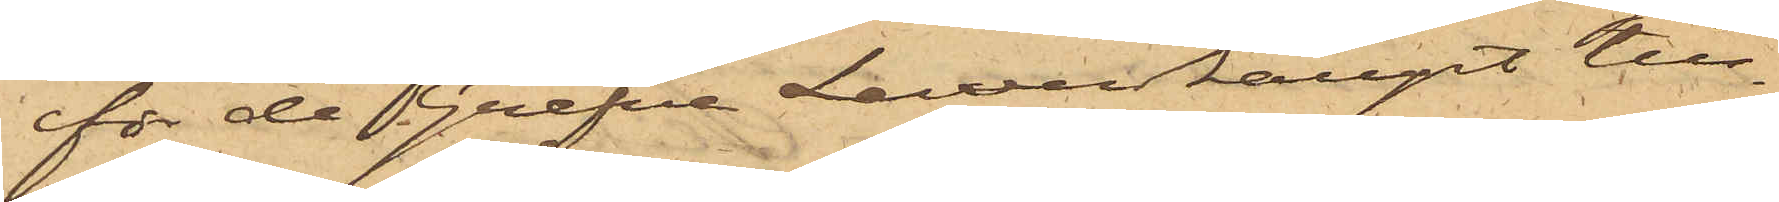för de Grefve Lewenhaupt till¬
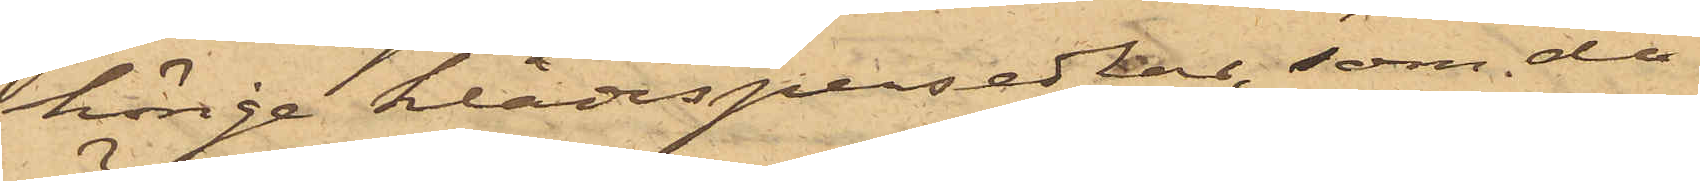hörige klädespersedlar, som då
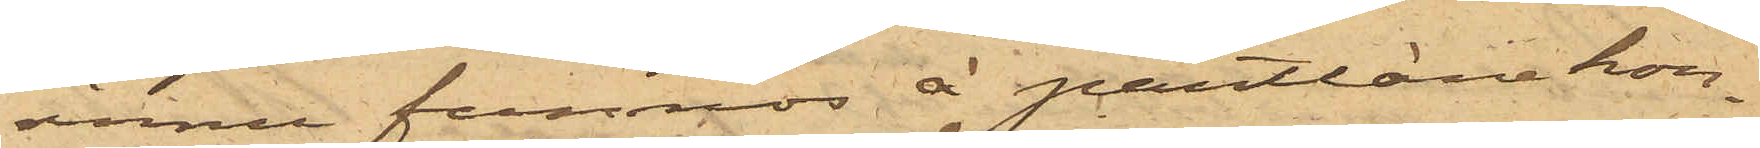ännu funnos å pantlånekon¬
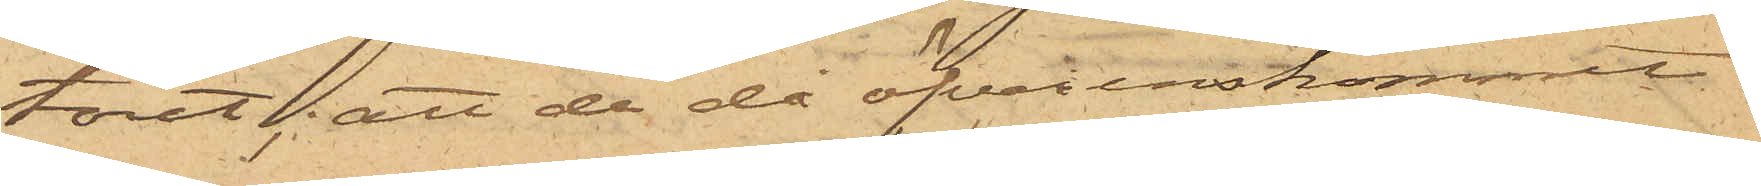toret; att de då öfverenskommit
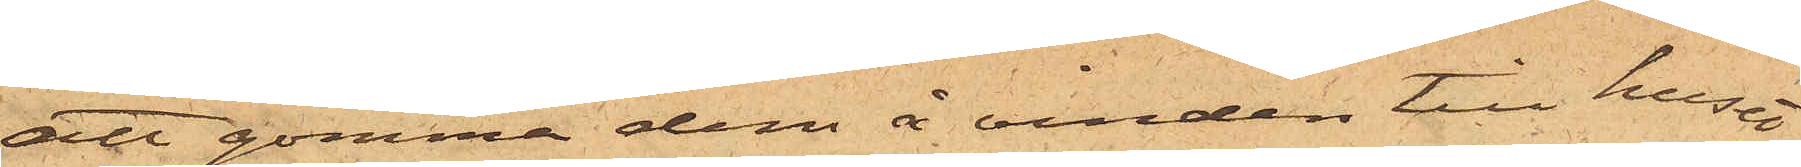att gömma dem å vinden till huset
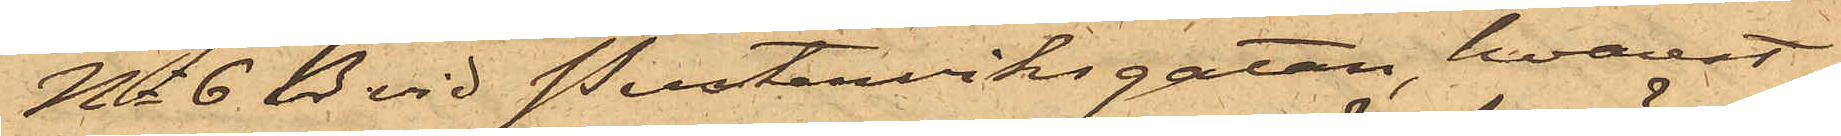No 6 D vid Pusterviksgatan, hvarest
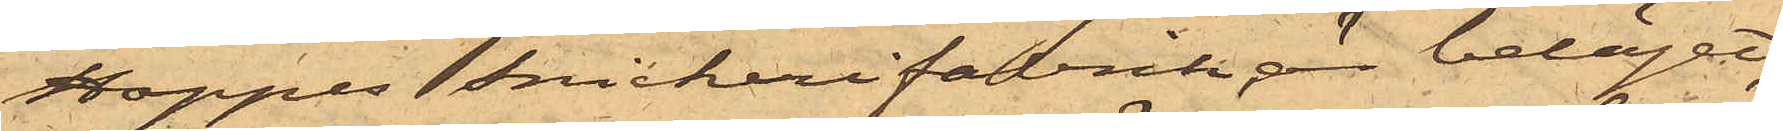Hoppes Snickerifabrik är beläget;
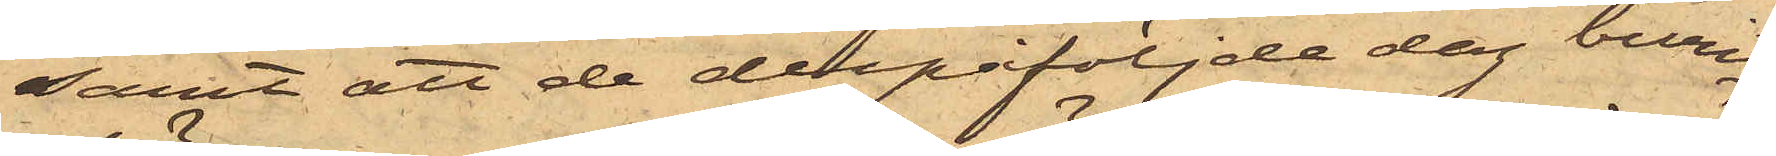samt att de derpåföljde dag burit
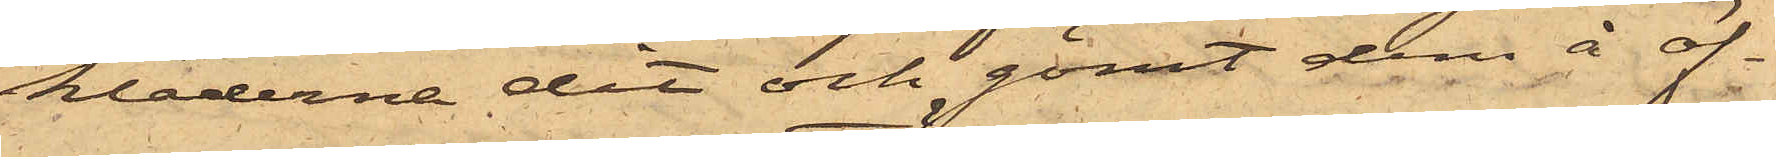kläderne dit och gömt dem å öf¬
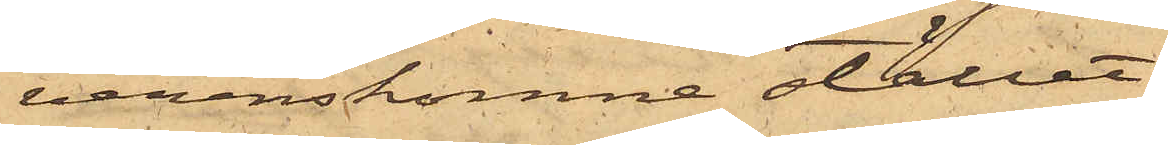verenskomne stället.
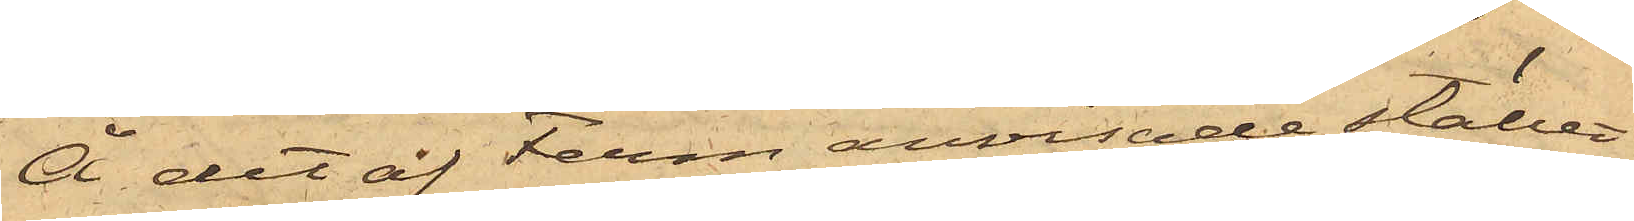Å det af Ferm anvisade stället
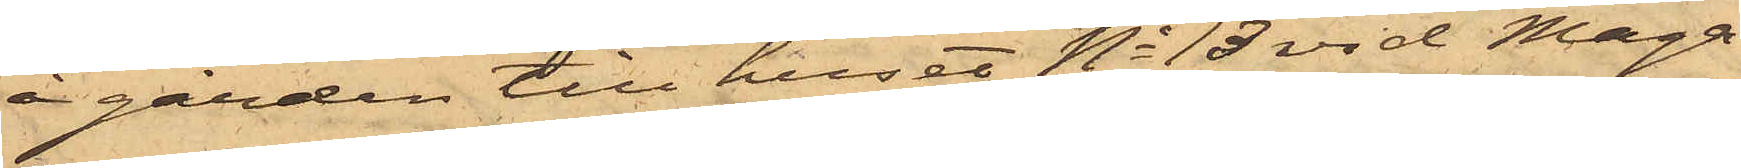å gården till huset No 18 vid Maga¬
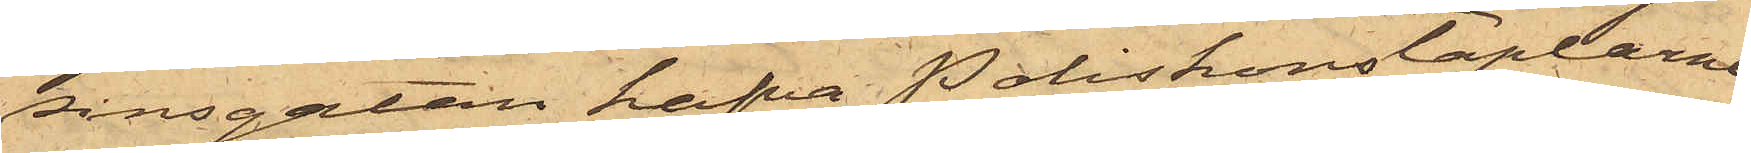sinsgatan hafva Poliskonstaplarne
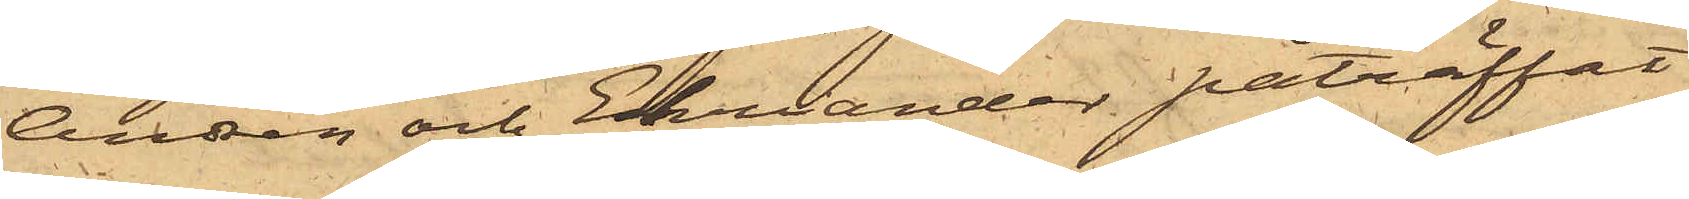Andrén och Ehriander påträffat
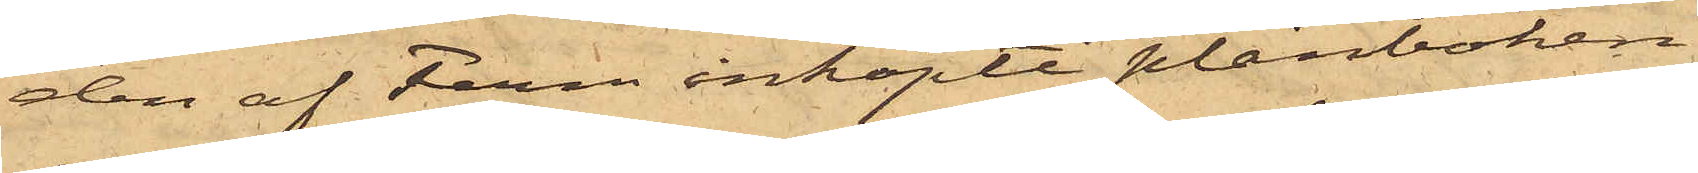den af Ferm inköpte plånboken
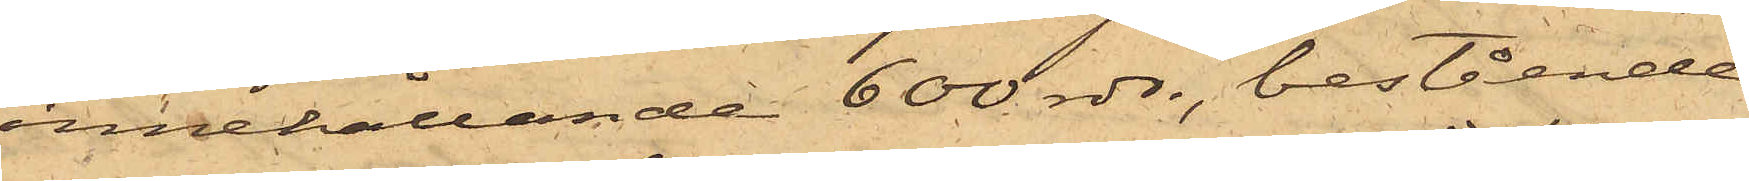innehållande 600 rdr, bestående
